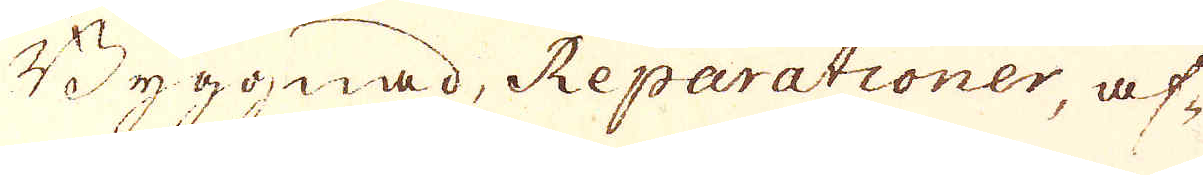Byggnad, Reparationer, af-
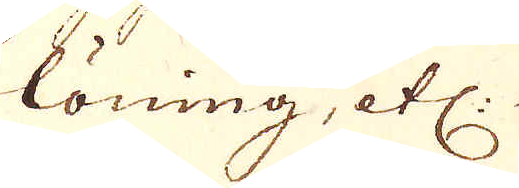löning, etc:
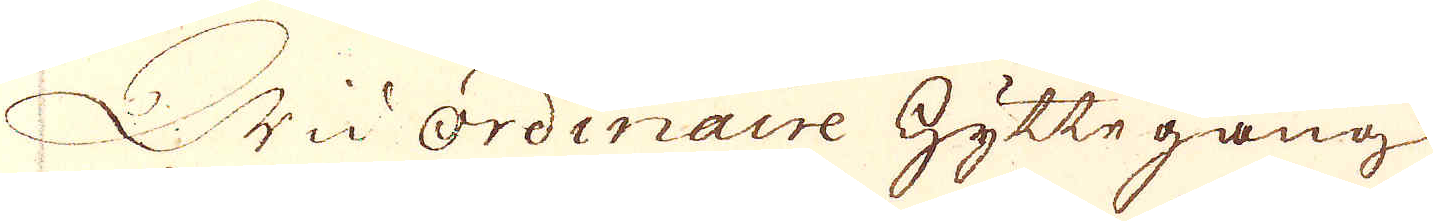Wid ordinaire Hyttegång
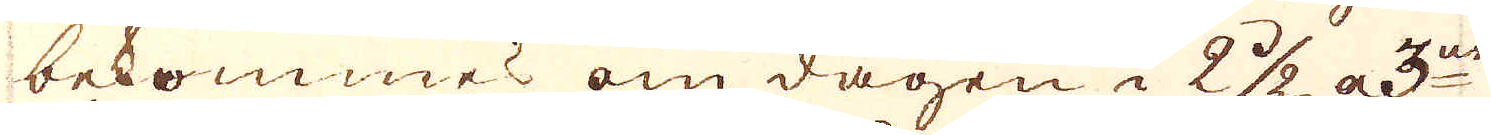bekommes om dagen i 2 1/2 a 3ne
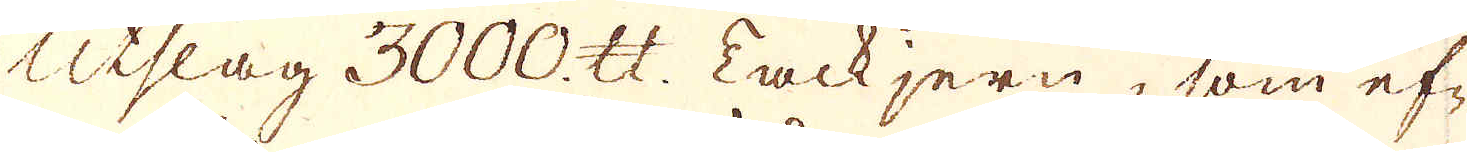Utslag 3000. skålpund: Tackjern, som ef-
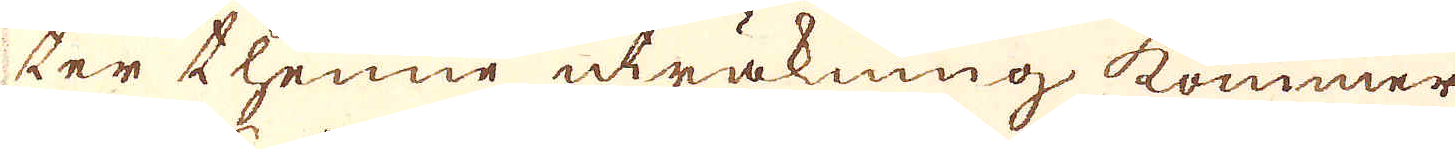ter thenne uträkning kommer
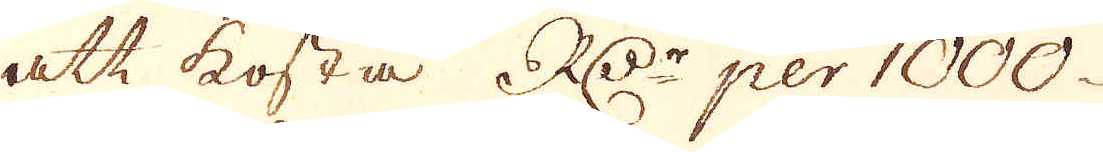att kosta, RD:r per 1000.
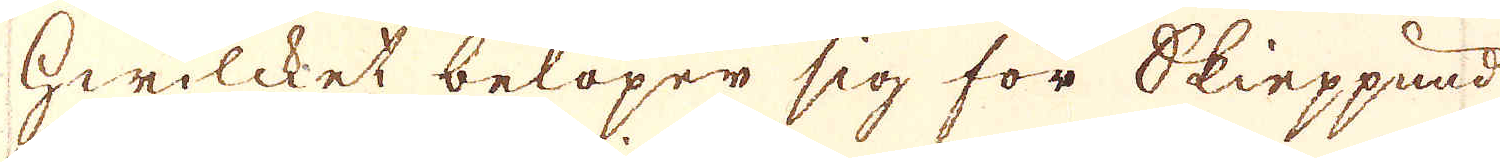hwilcket belöper sig för Skieppund
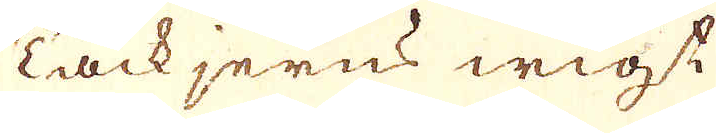Tackjerns wigst
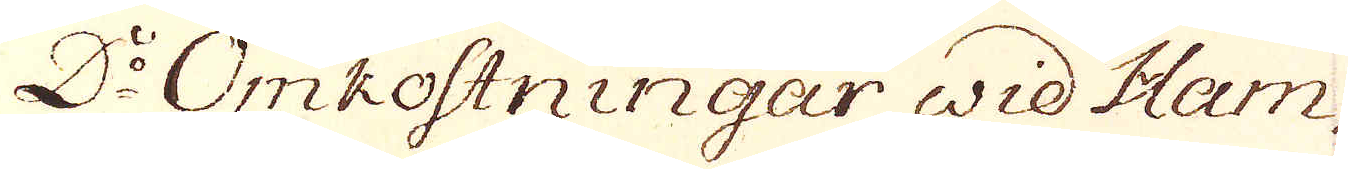D:o Omkostningar wid Ham-
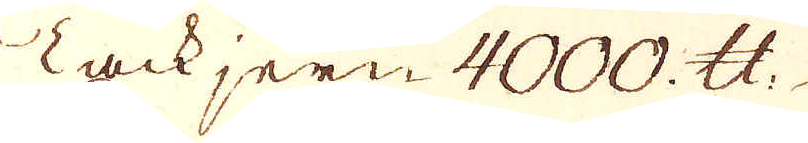Tackjern 4000. skålpund.
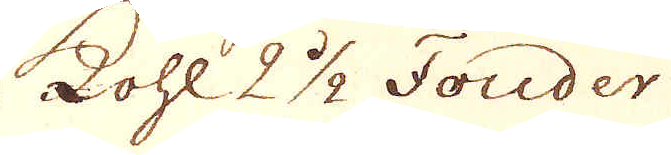kohl 2 1/2 Fouder
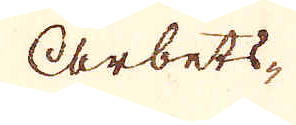Arbets-
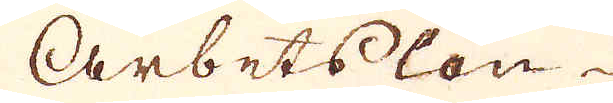Arbetslön-
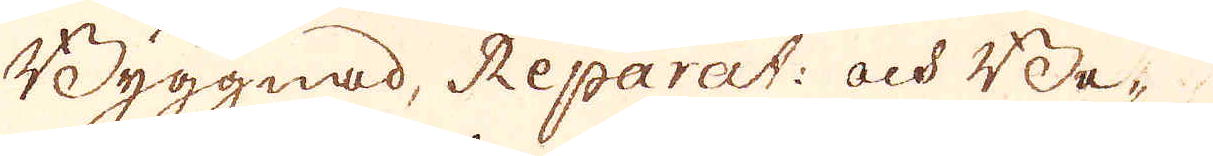Byggnad, Reparat: och Be-
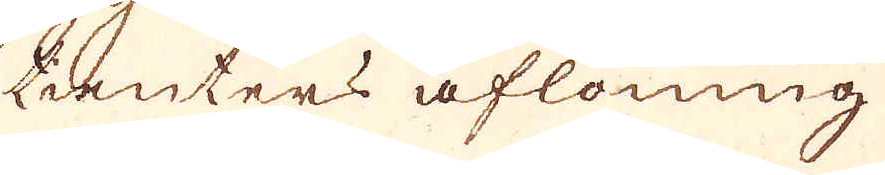tienters aflöning
